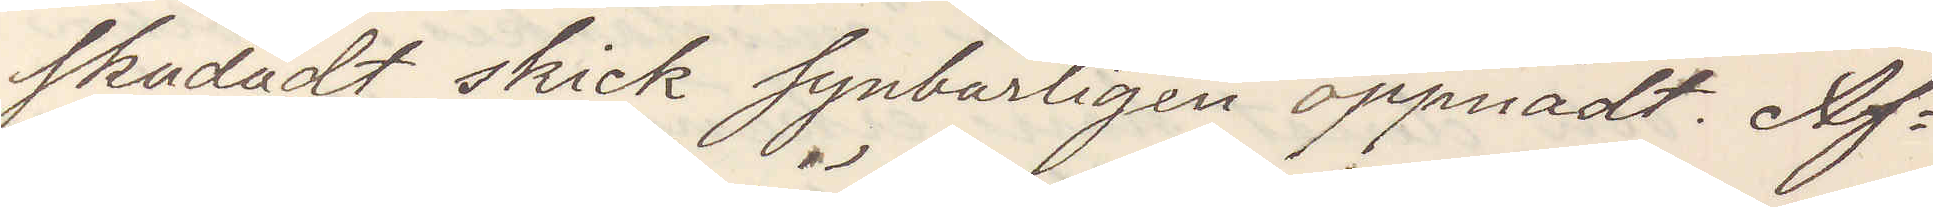skadadt skick synbarligen öppnadt. Af¬
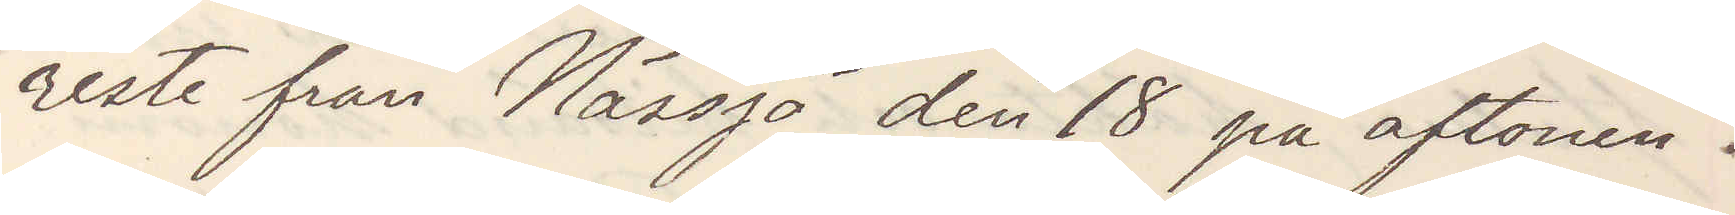reste från Nässjö den 18 på aftonen.
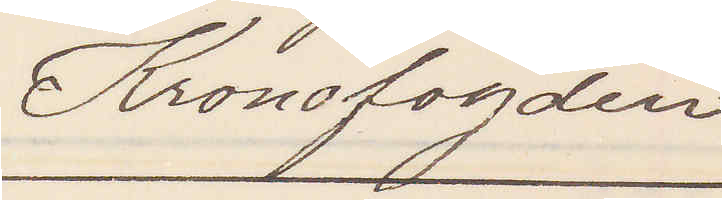Kronofogden
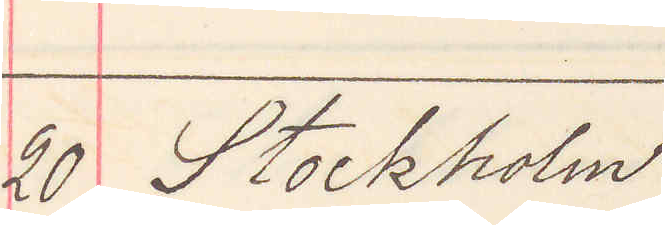20. Stockholm
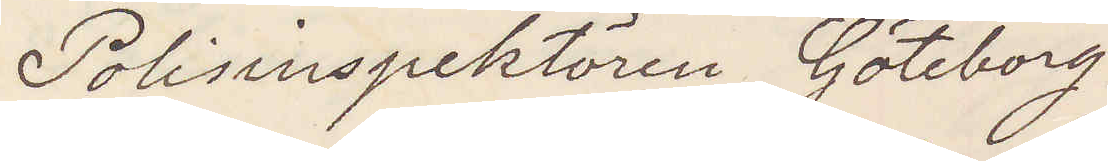Polisinspektören Göteborg
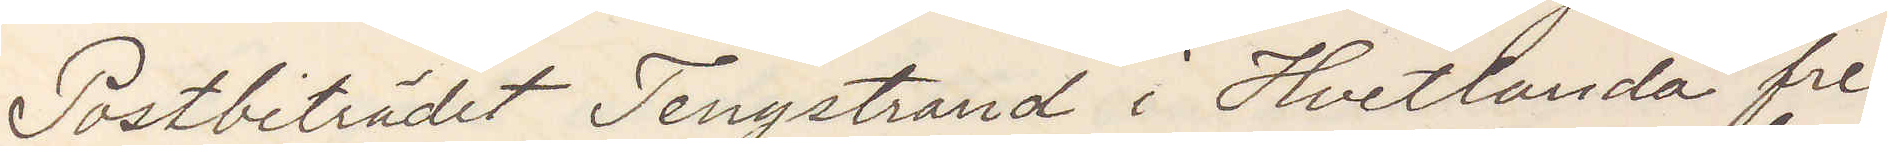Postbiträdet i Hvetlanda fre¬
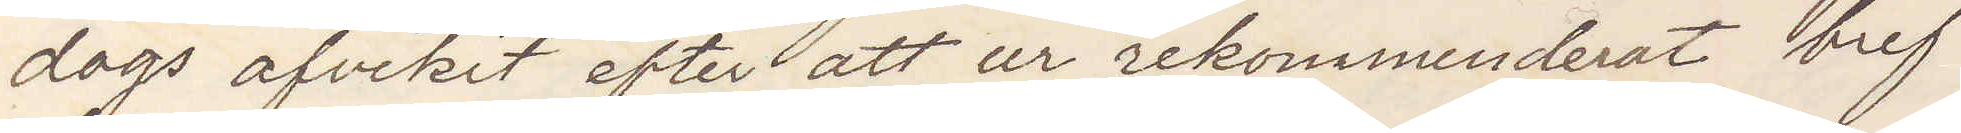dags afvikit efter att ur rekommenderat bref
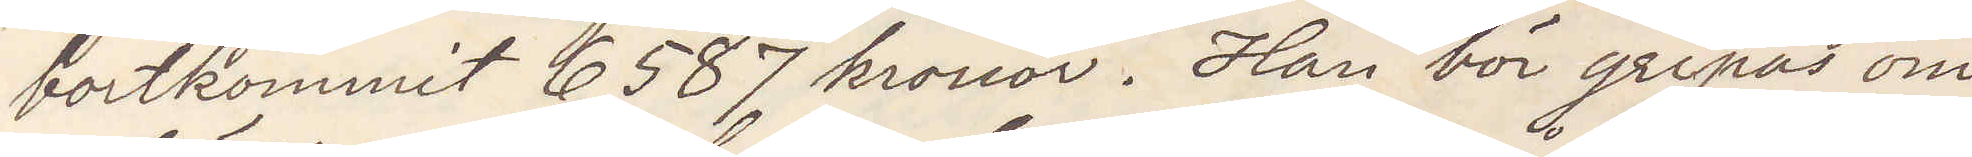bortkommit 6587 kronor. Han bör gripas om
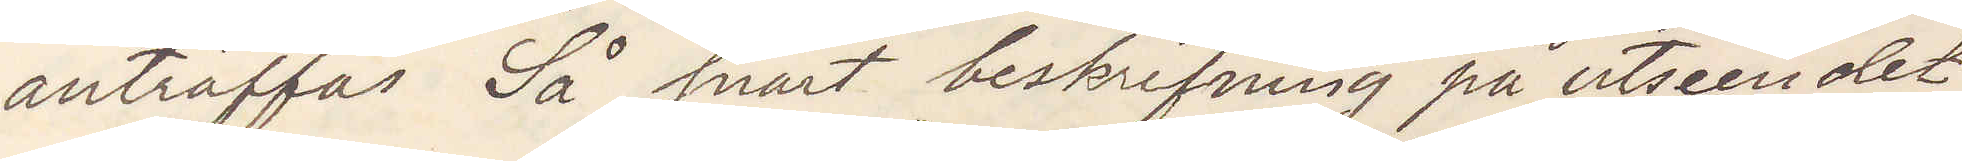anträffas Så snart beskrifning på utseendet
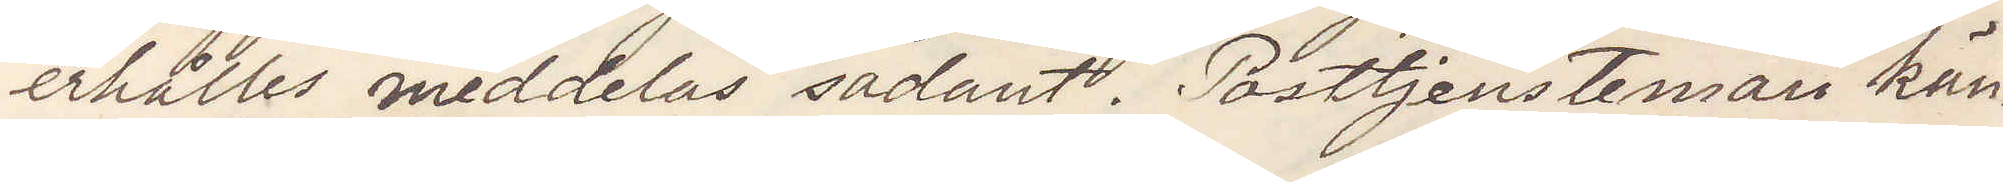erhålles meddelas sådant. Posttjenstemän kän¬
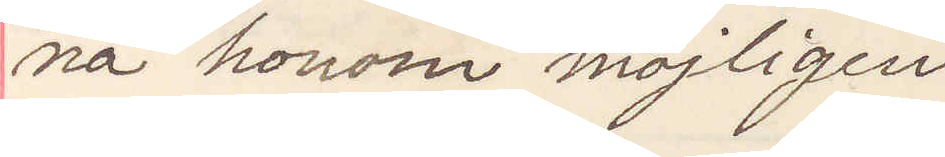na honom möjligen
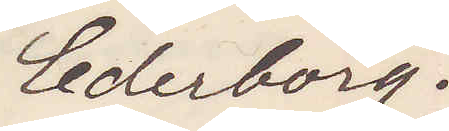Cederborg.
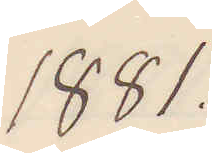1881.
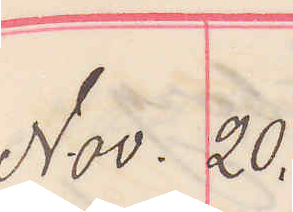Nov. 20.
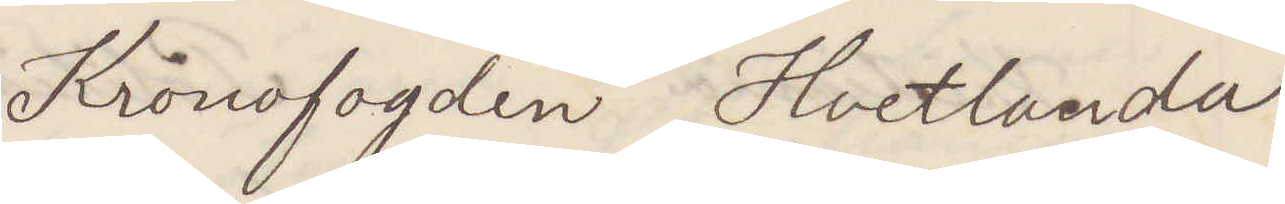Kronofogden Hvetlanda
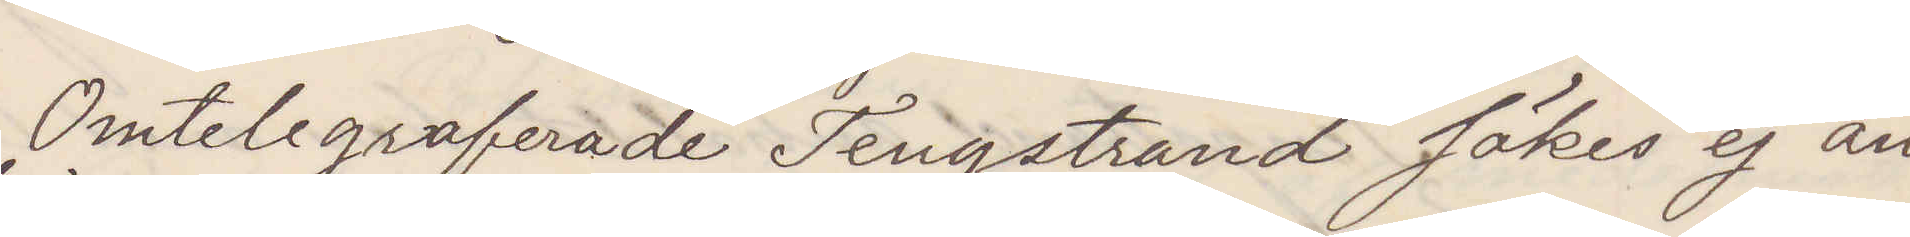Omtelegraferade Tengstrand sökes ej an¬
